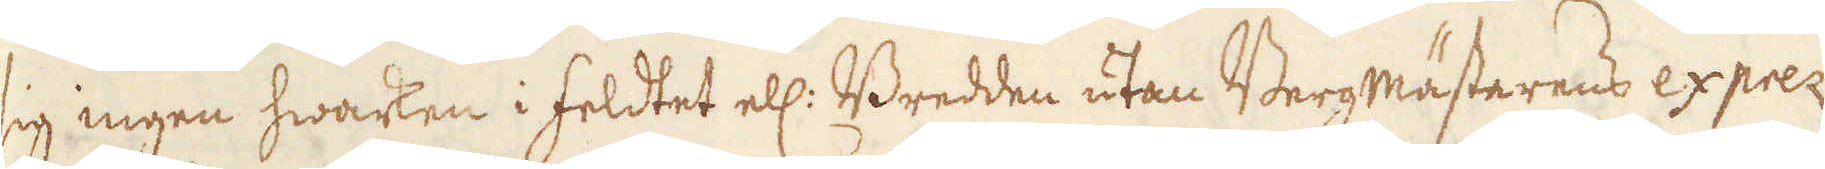sig ingen hwarten i feldtet ell: Bredden utan Bergmästarens exprez
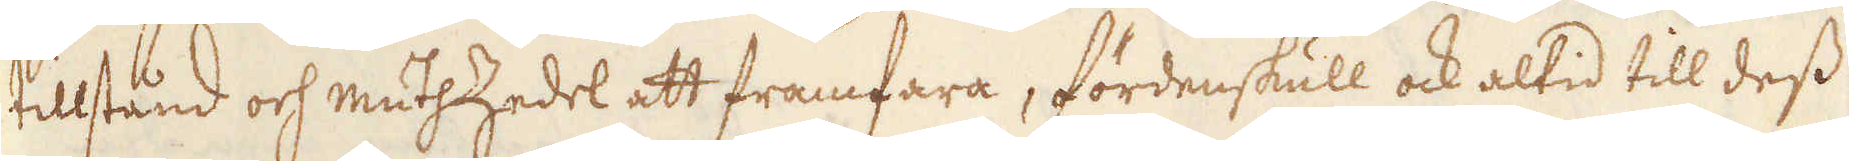tillstånd och muthZedel att framfara, fördenskull ock altid till dess
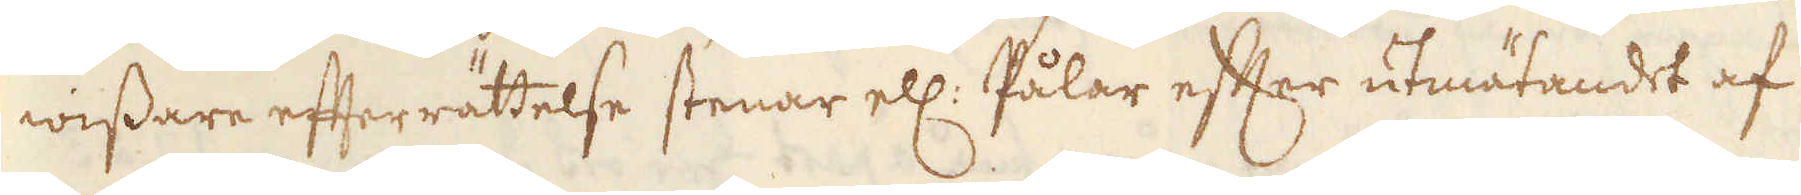wissare efterrättelse stenar ell: Pålar efter utmätandet af
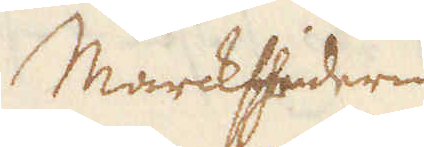Marcksheidern
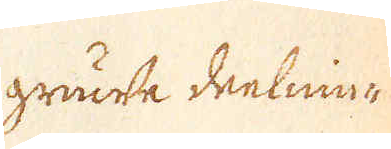grunde deelnin-
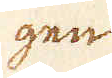gen
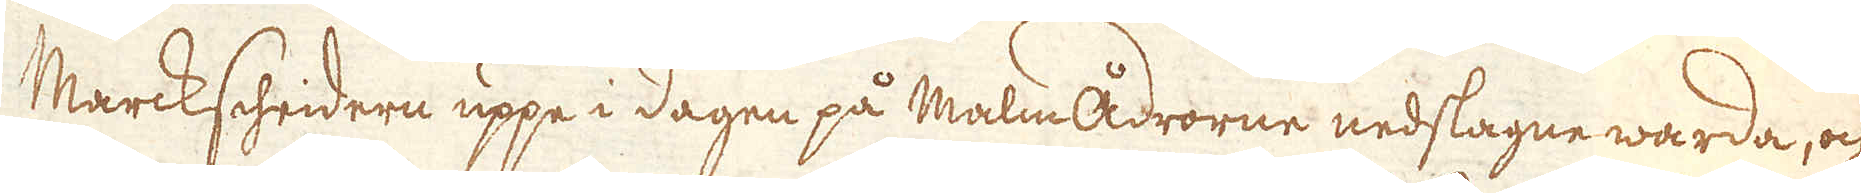Marckscheidern uppe i dagen på Malmådrorne nedslagne warda, och
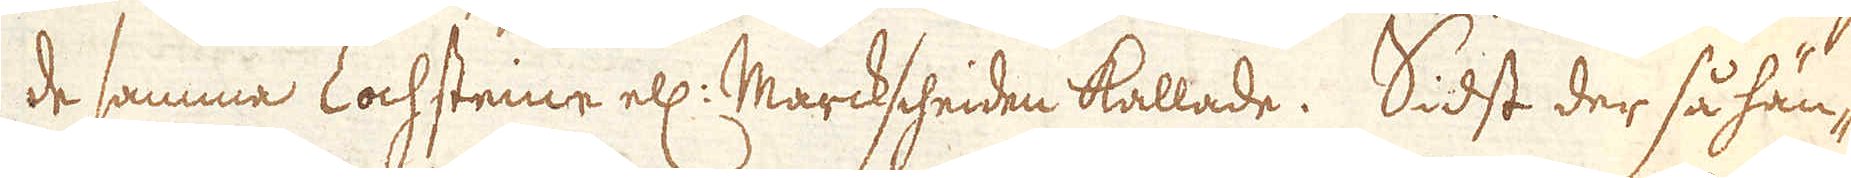de samma Lochsteine ell: Marckscheiden kallade. Sidst der så hän-
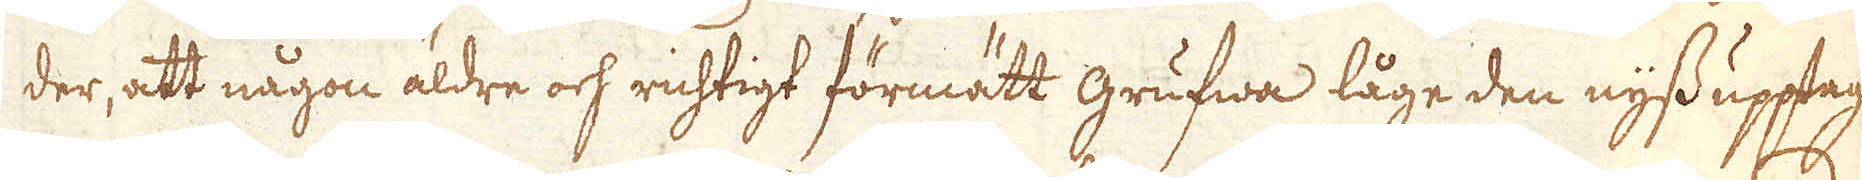der, att någon äldre och richtigt förmätt grufwa låge den nyss upptag-
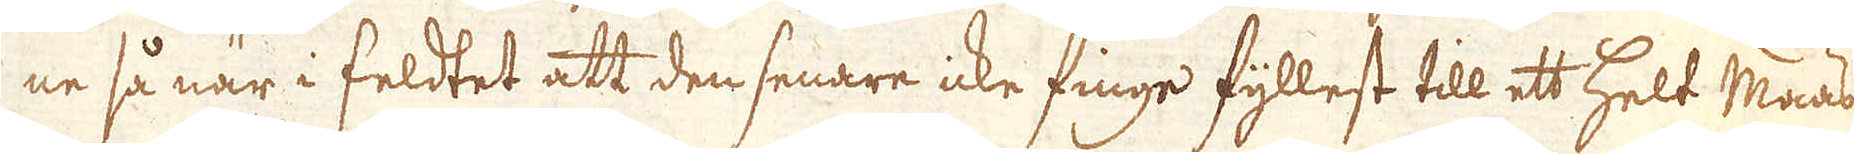ne så när i feldtet att den senare icke finge fyllest till ett helt Maas
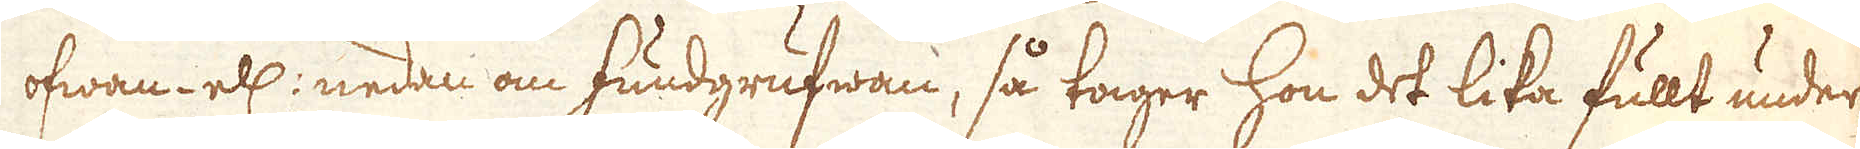ofwan- ell: nedan om fundgrufwan, så tager hon det lika fullt under
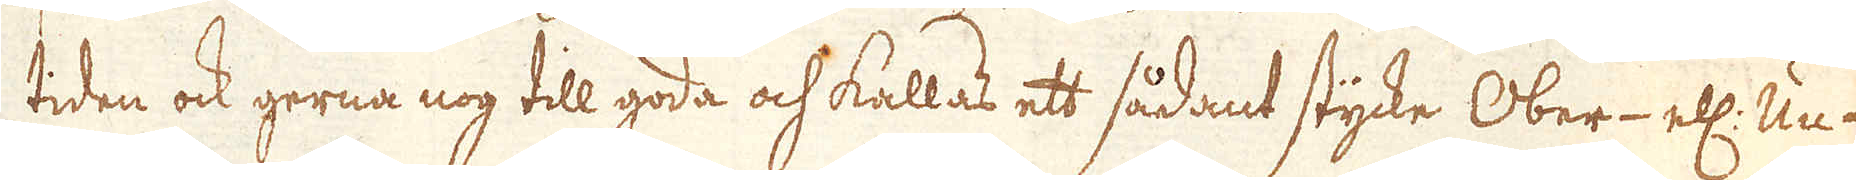tiden ock gerna nog till goda och kallas ett sådant stycke Ober- ell: Un-
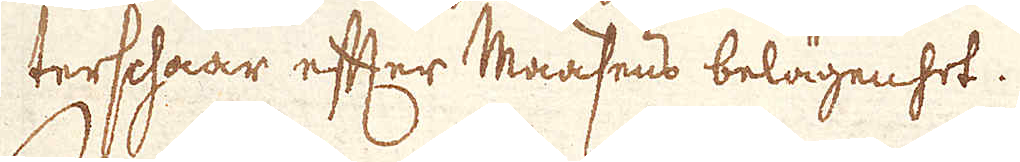tershaar efter Maasens belägenhet.
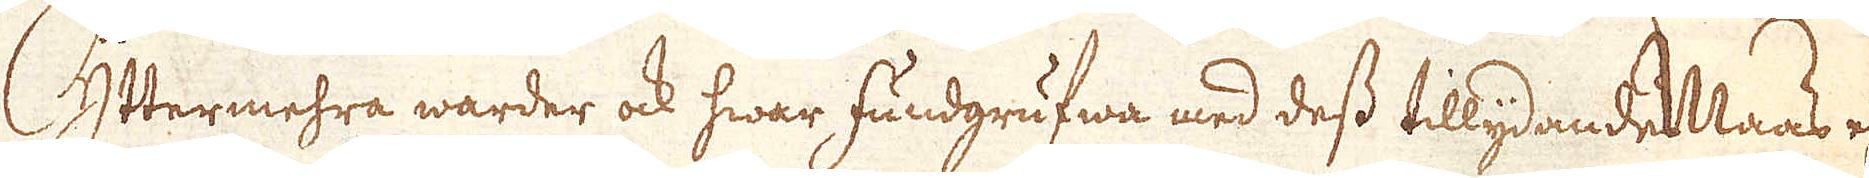Yttermehra warder ock hwar fundgrufwa med dess tillydande Maas ell:
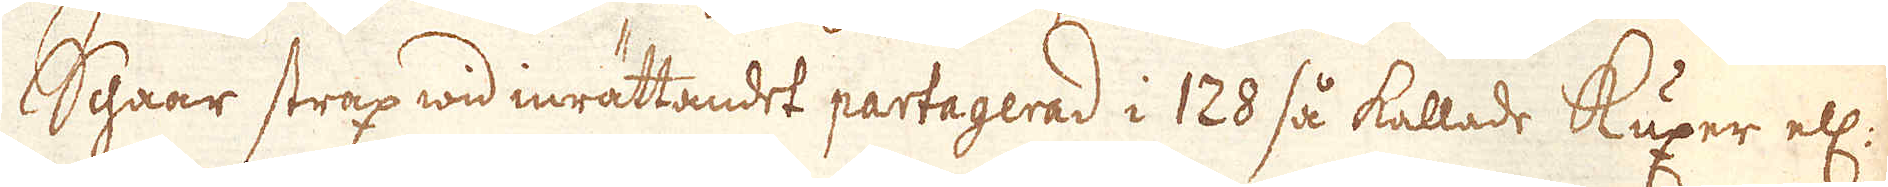Schaar strax wid inrättandet partagerad i 128 så kallade Kuxer ell:
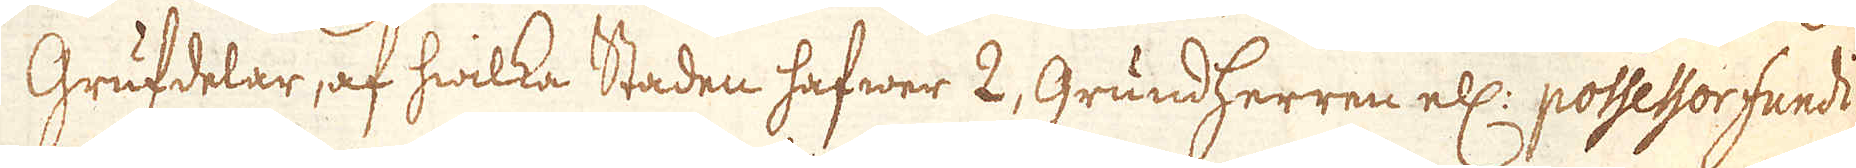Grufdelar, af hwilka Staden hafwer 2, Grundherren ell: possessor fundt
